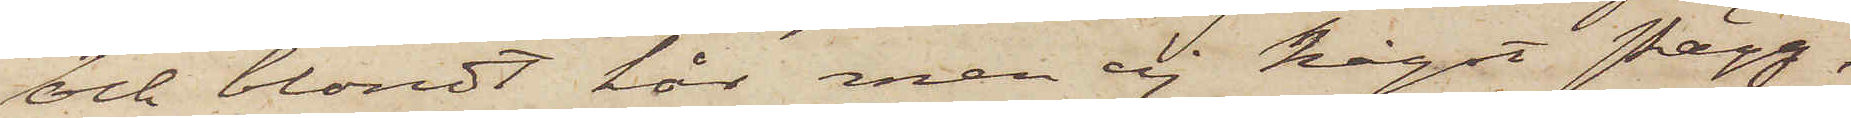och blondt hår men ej något skägg,
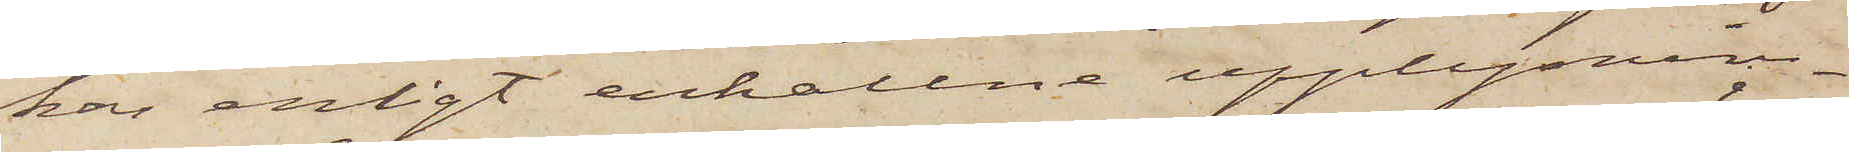har enligt erhållne upplysnin¬
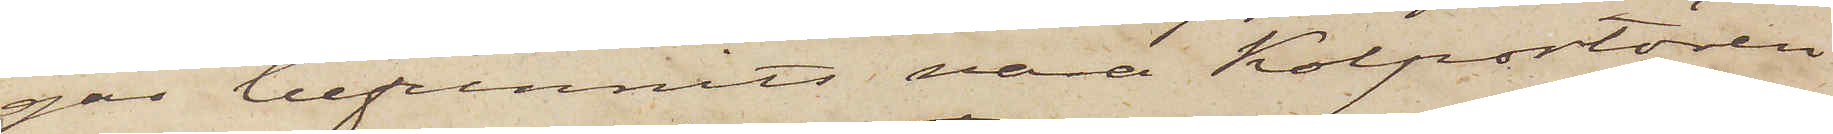gar befunnits vara Kolportören
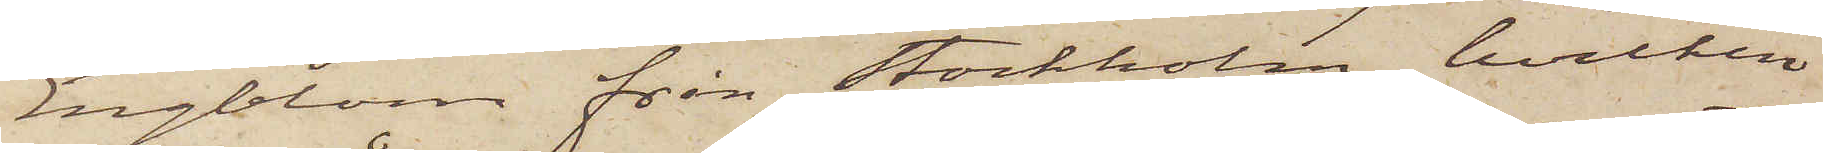Engblom från Stockholm, hvilken
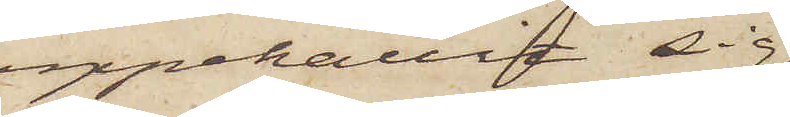uppehållit sig
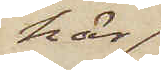här
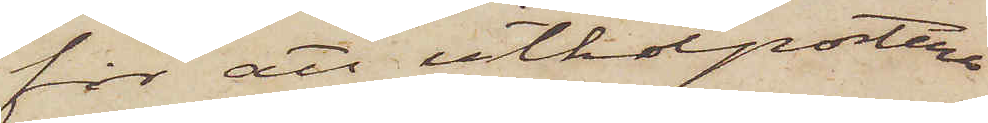för att utkolportera
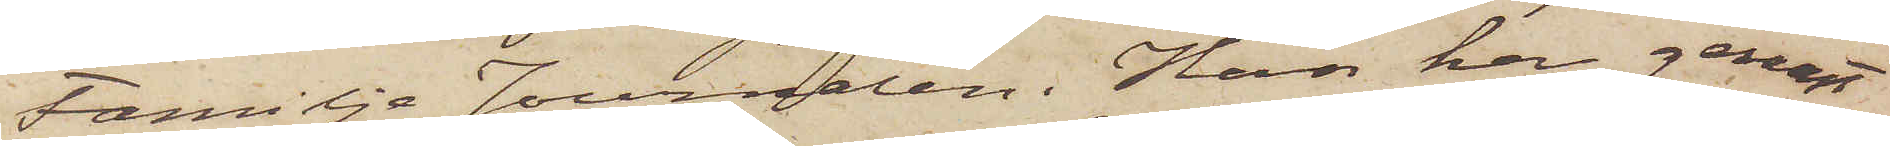Familje Journalen. Han har genast
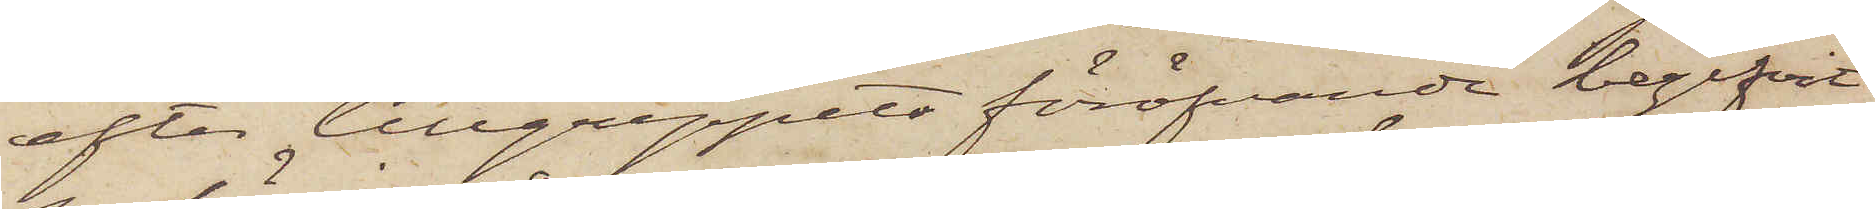efter tillgreppets föröfvande begifvit
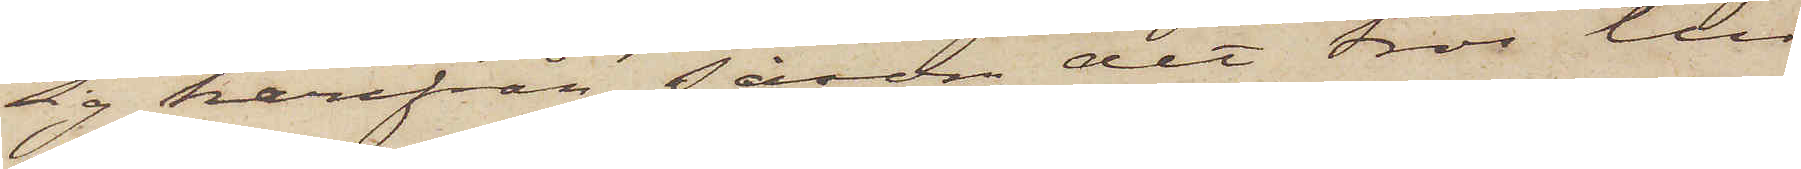sig härifrån såsom det tros till
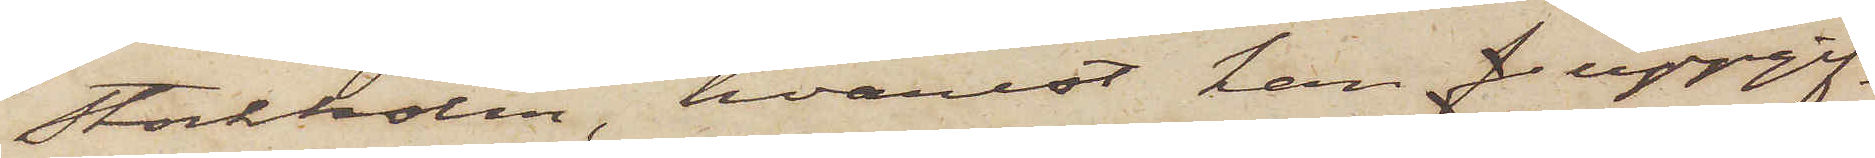Stockholm, hvarest han f uppgif¬
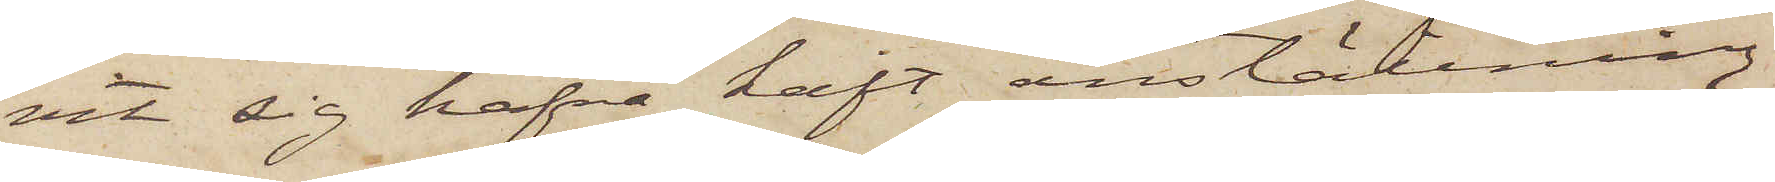vit sig hafva haft anställning
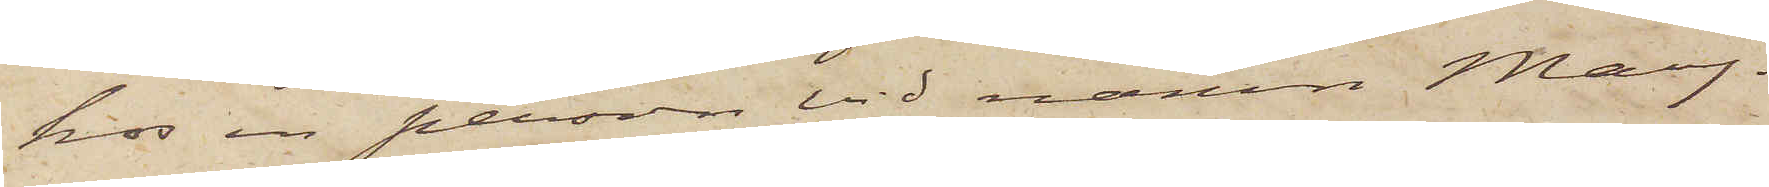hos en person vid namn May.
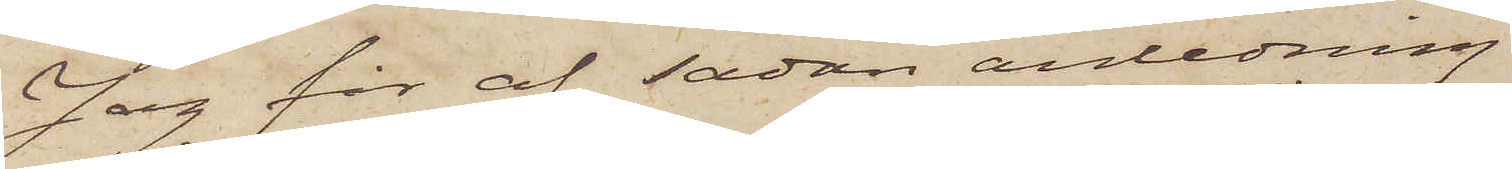Jag får af sådan anledning
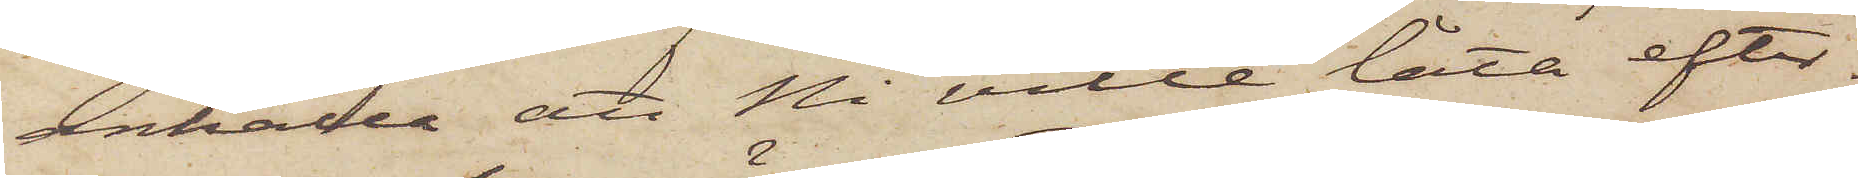anhålla att Ni ville låta efter¬
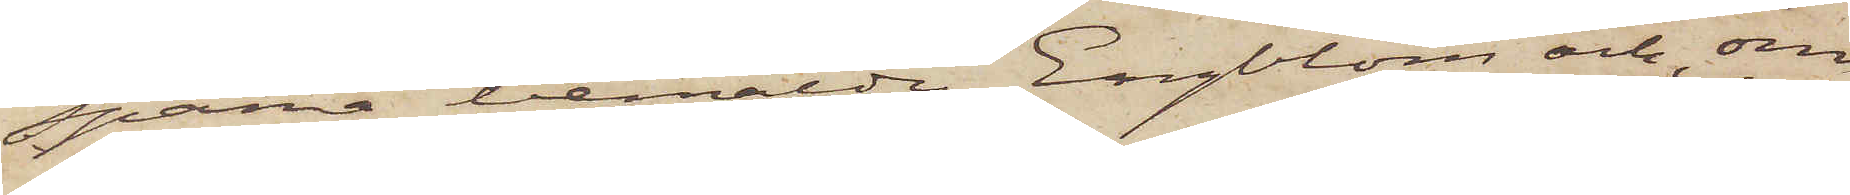spana bemälde Engblom och, om
